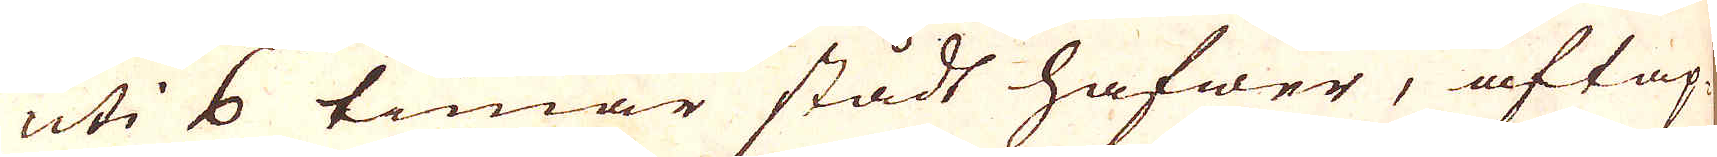uti 6 timar stådt hafwer, aftap-
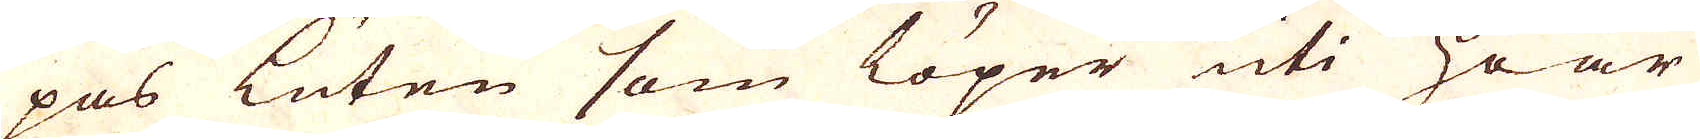pas Luten som löper uti hoar
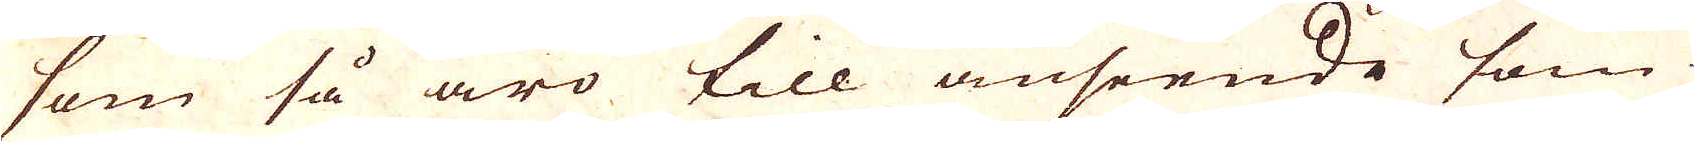som så äro till anseende som
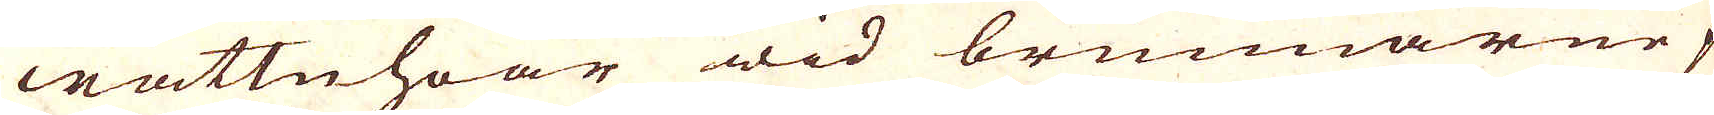wattnhoar wid brunnarne på
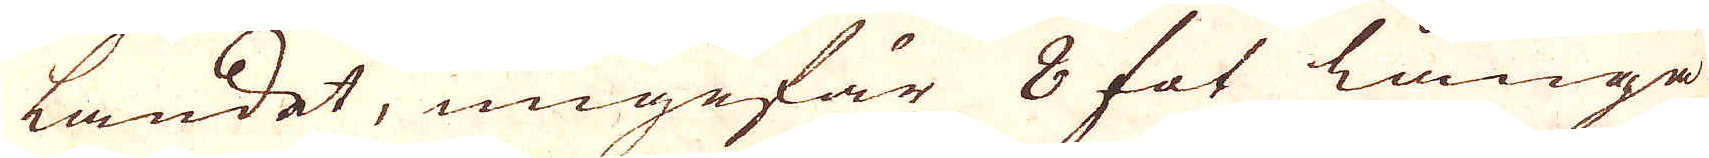landet, ungefär 8 fot långa
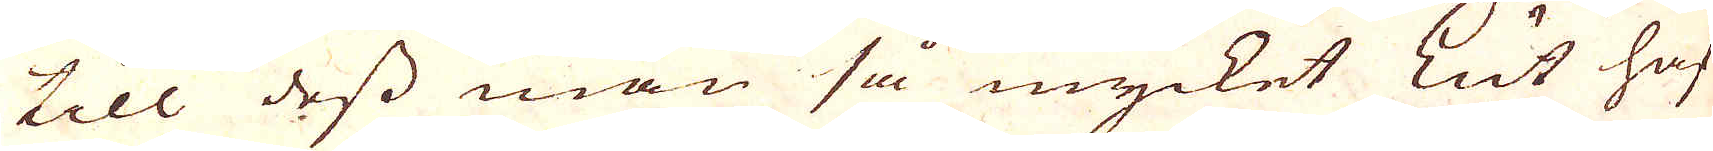till dess man så mycket Lut haf-
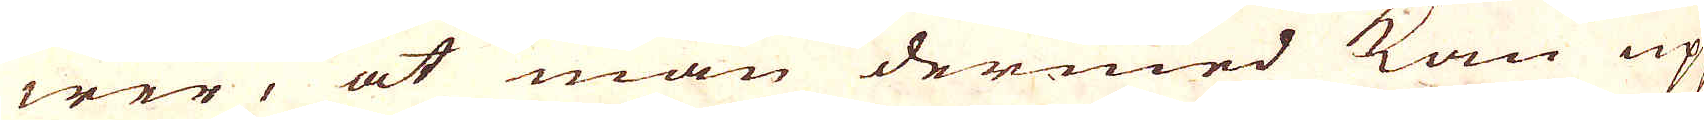wer, at man dermed kan upp-
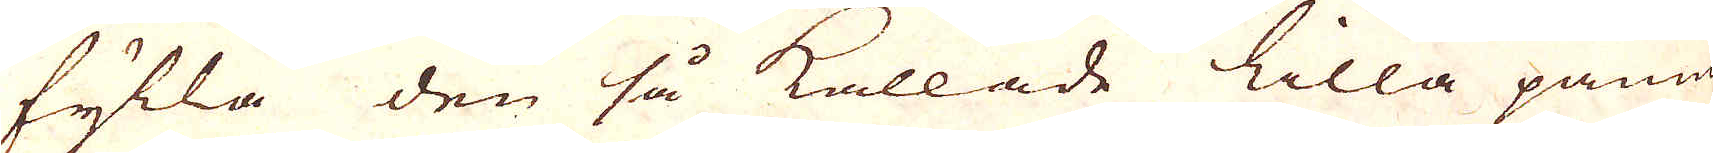fylla den så kallade lilla pannan
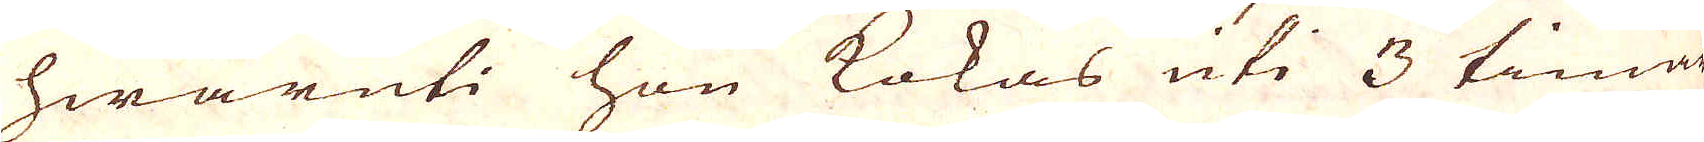hwaruti hon kokas uti 3 timar
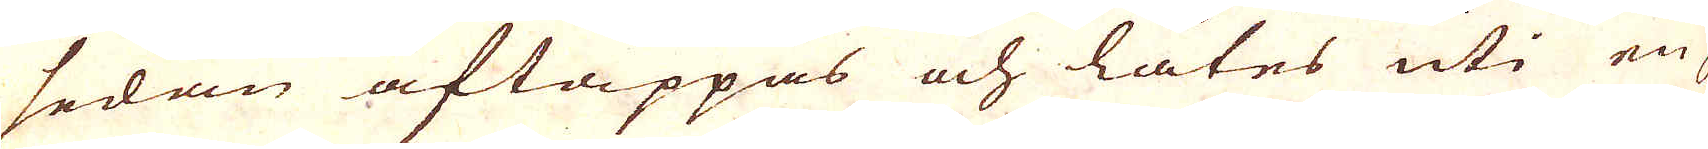sedan aftappas och låtes uti en
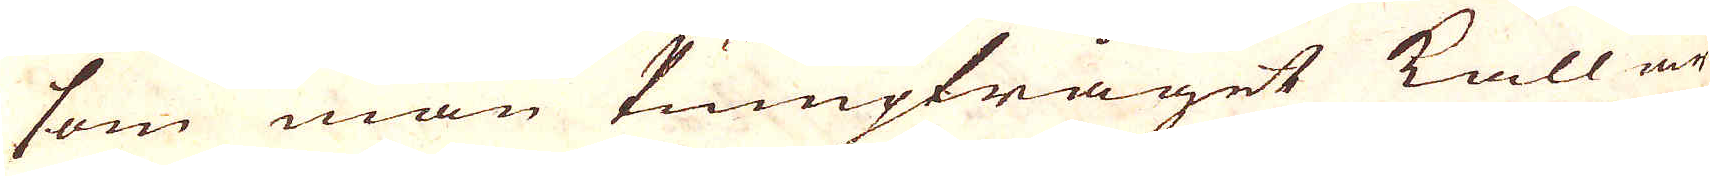som man Pumptråget kallar
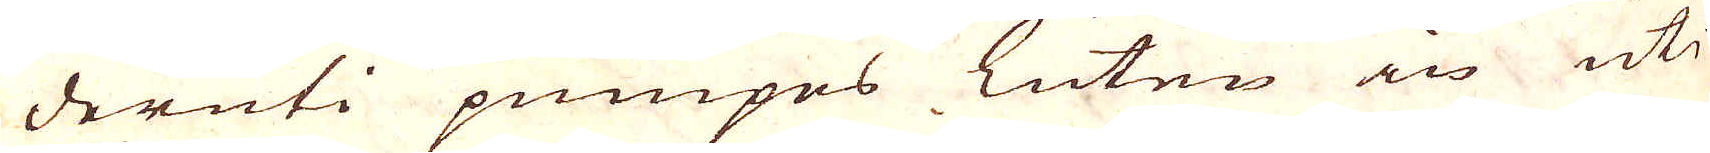deruti pumpes Luten in uti
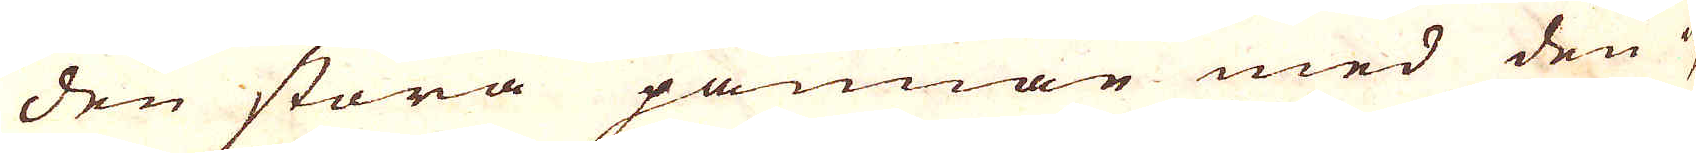den stora pannan med den up-
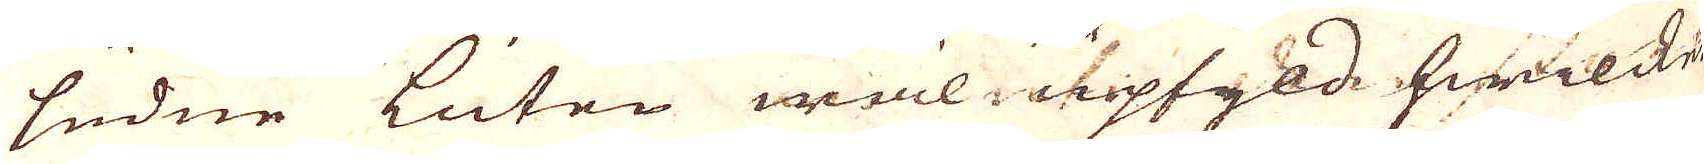ludne Luten wäl upfyld hwilcket
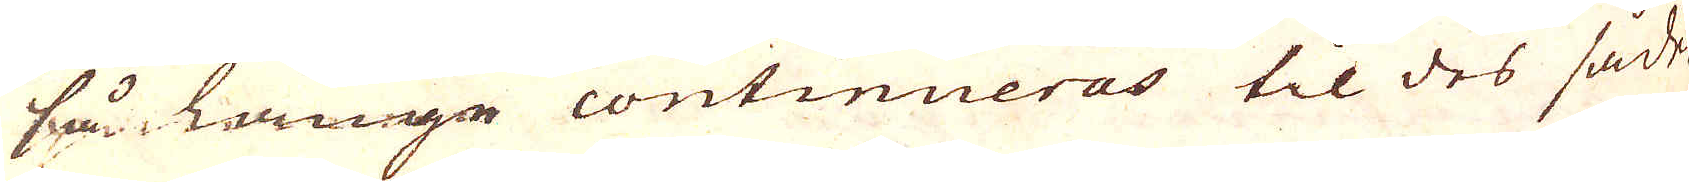så länge continueras til des sådel
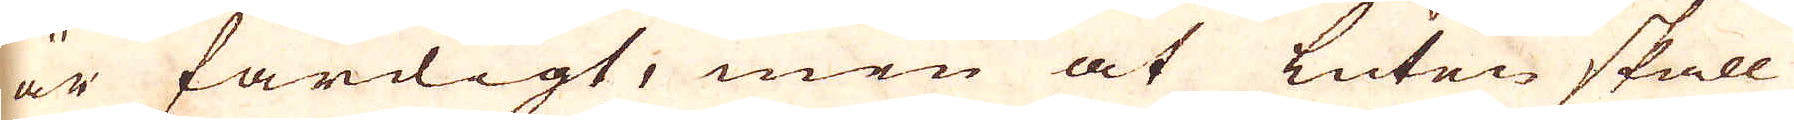är färdigt, men at luten skall
